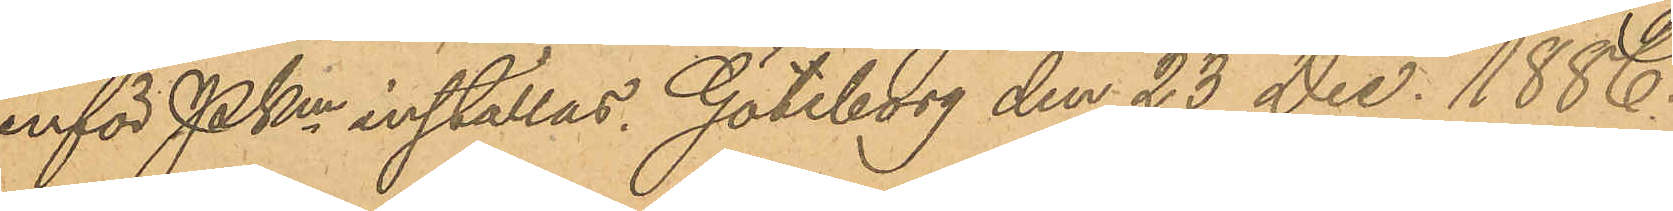inför PKmn inställas. Göteborg den 23 Dec. 1886.
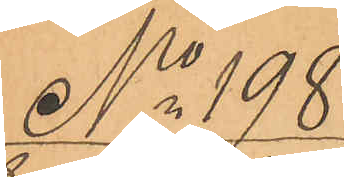No 198
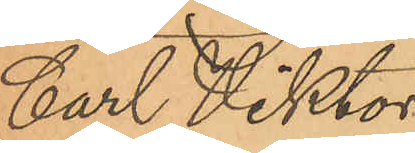Carl Viktor
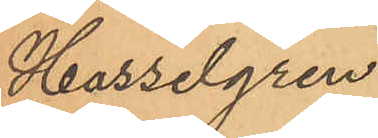Hasselgren
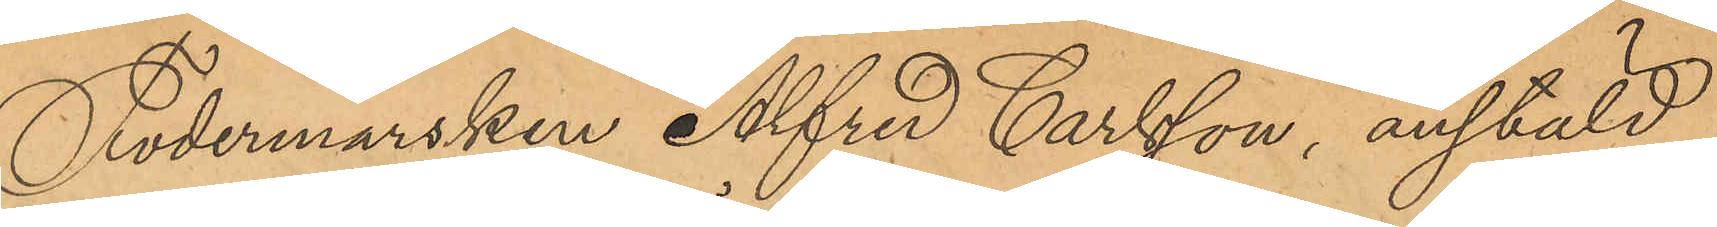Fodermarsken Alfred Carlsson, anstäld
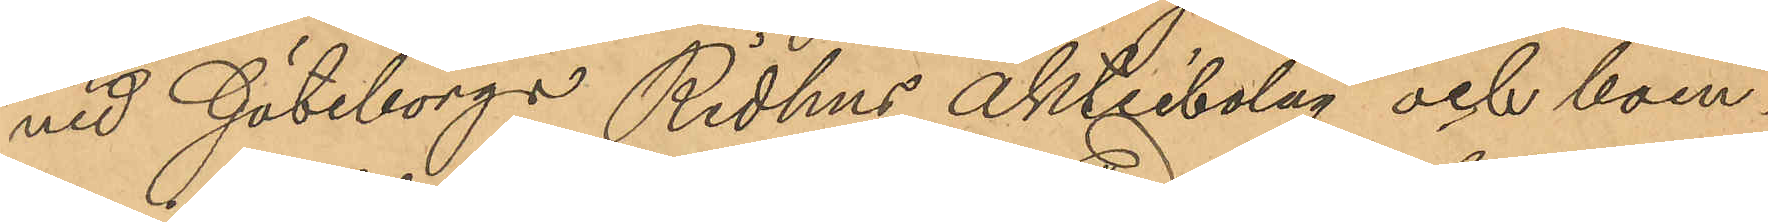vid Göteborgs Ridhus aktiebolag och boen¬
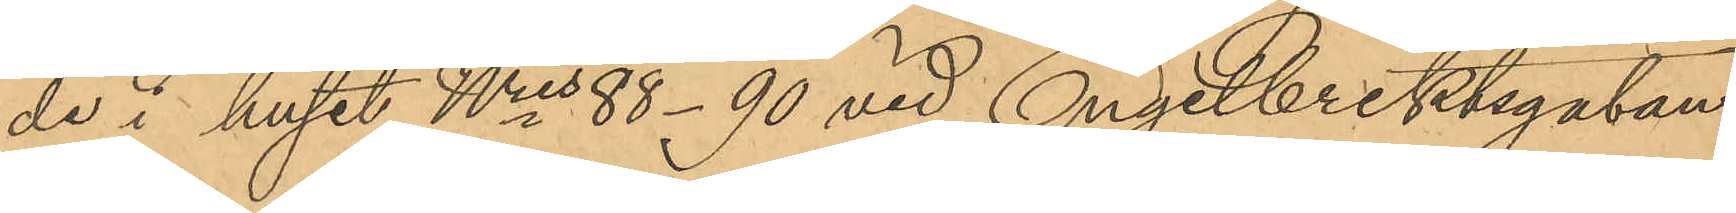de i huset Nris 88 - 90 vid Engelbrektsgatan,
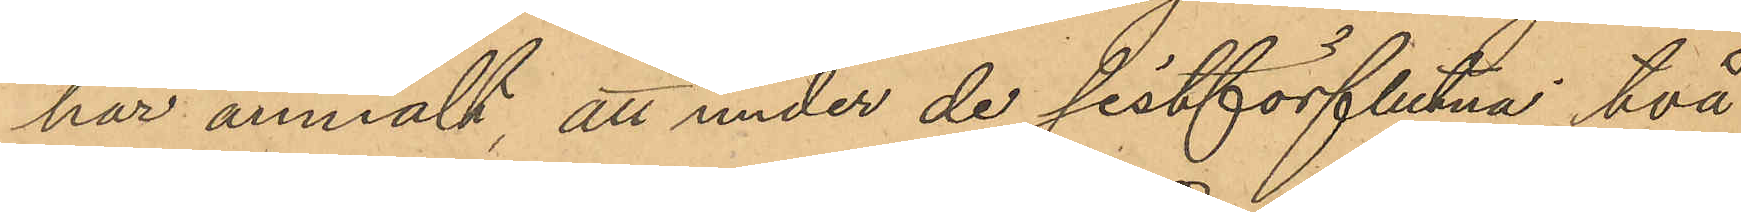har anmält, att under de sistförflutna två
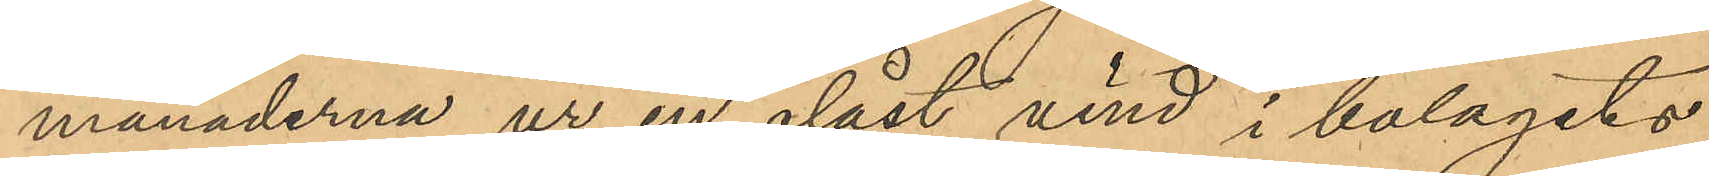månaderna ur en olåst vind i bolagets
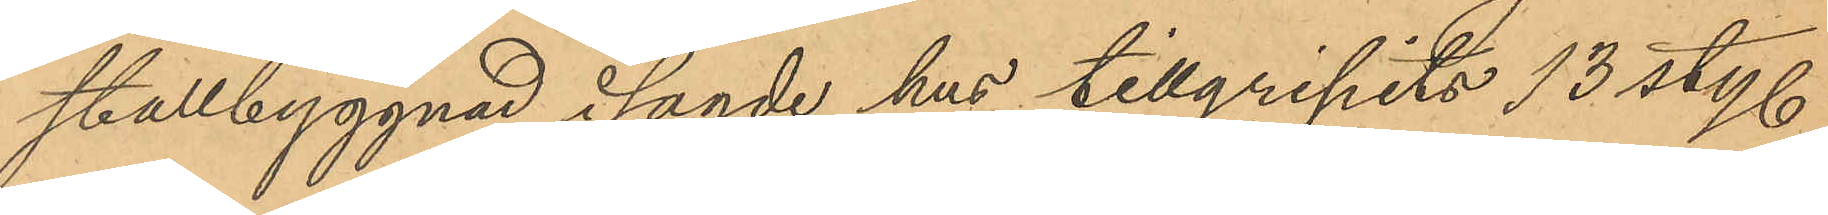stallbyggnad i sagde hus tillgripits 13 sty.
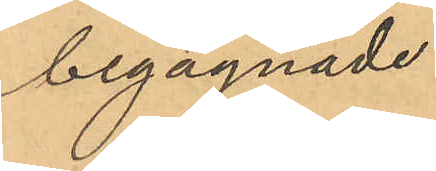begagnade.
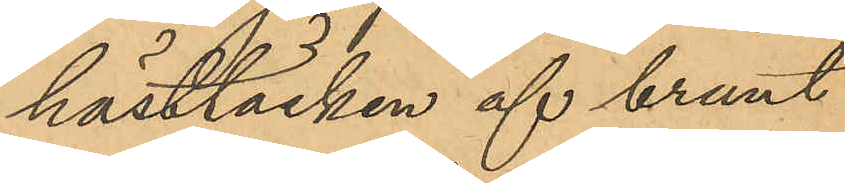hästtäcken af brunt
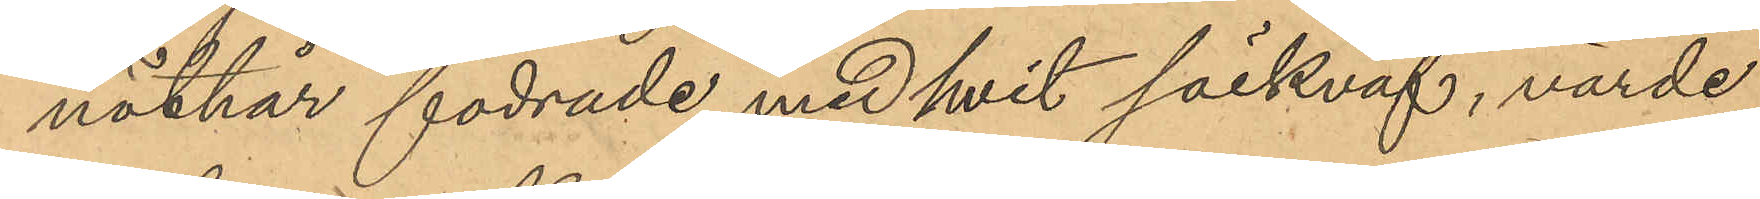nöthår fodrade med hvit säckväf, värde
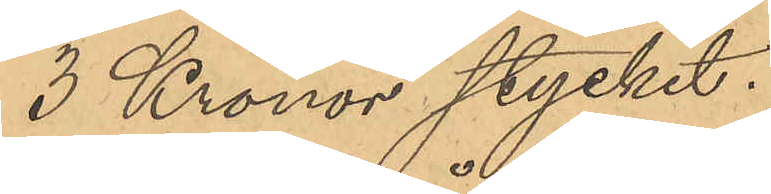3 Kronor stycket.
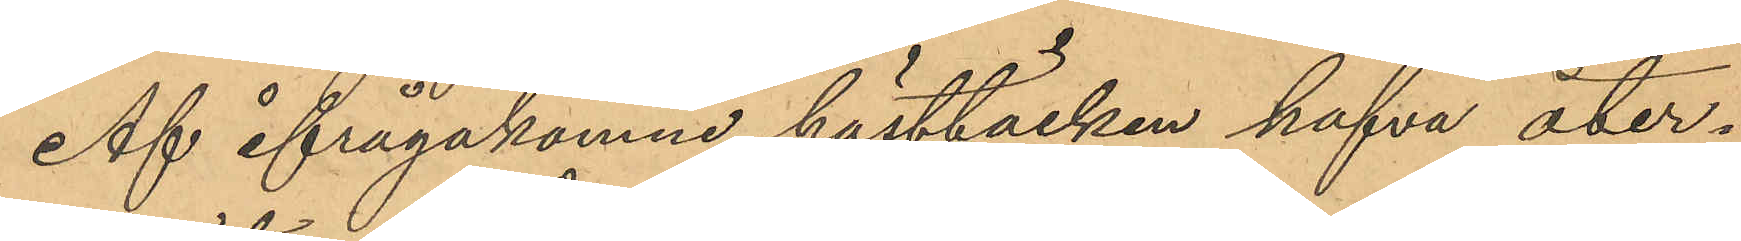Af ifrågakomne hästtäcken hafva åter¬
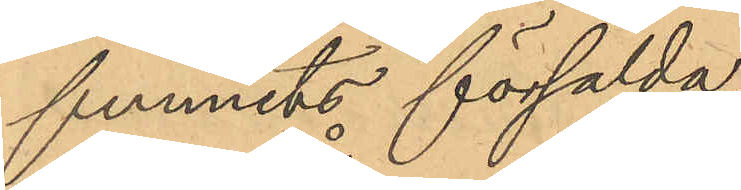funnits försålda,
